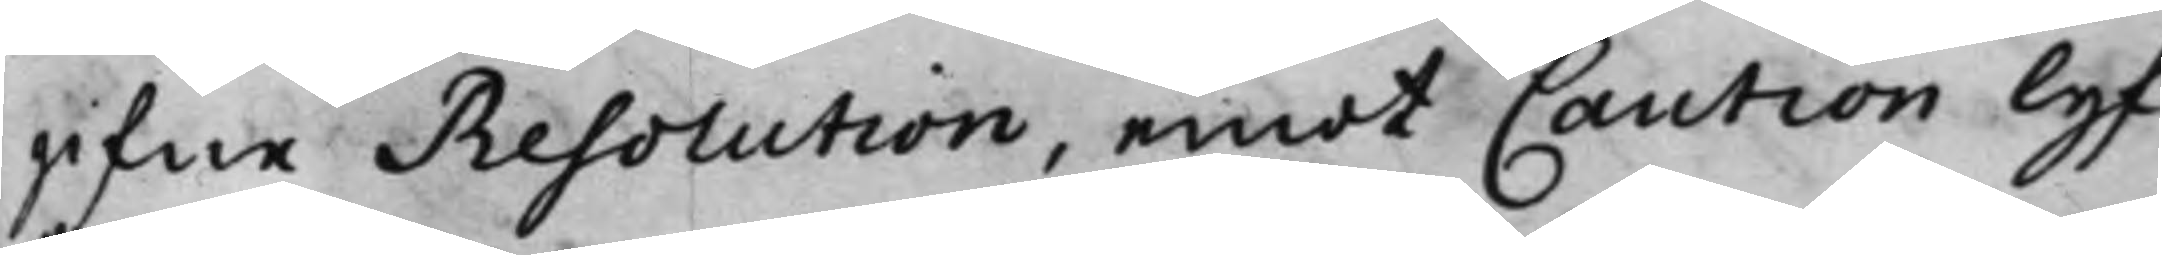gifne Resolution, emot Caution lyf¬
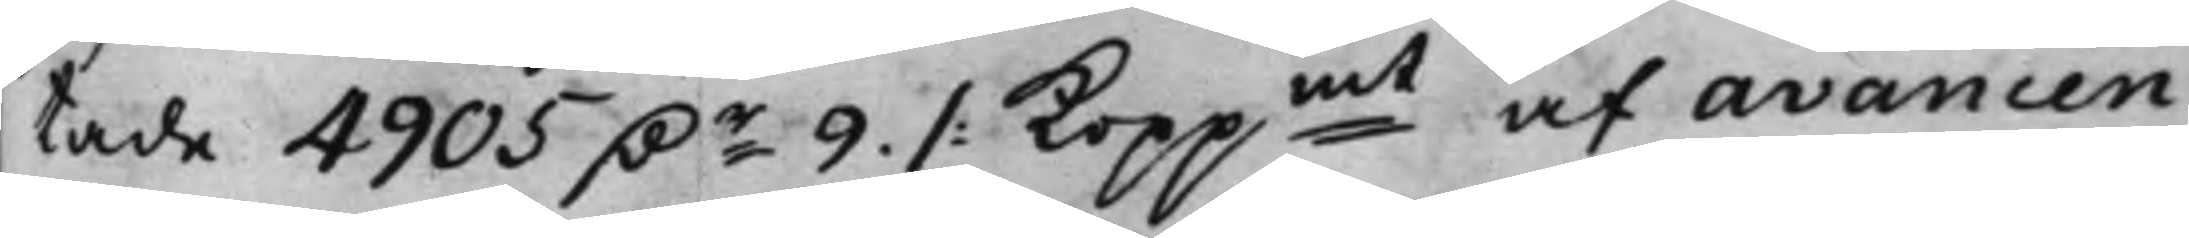tade 4905 D.r 9 ./. Koppmt af avancen
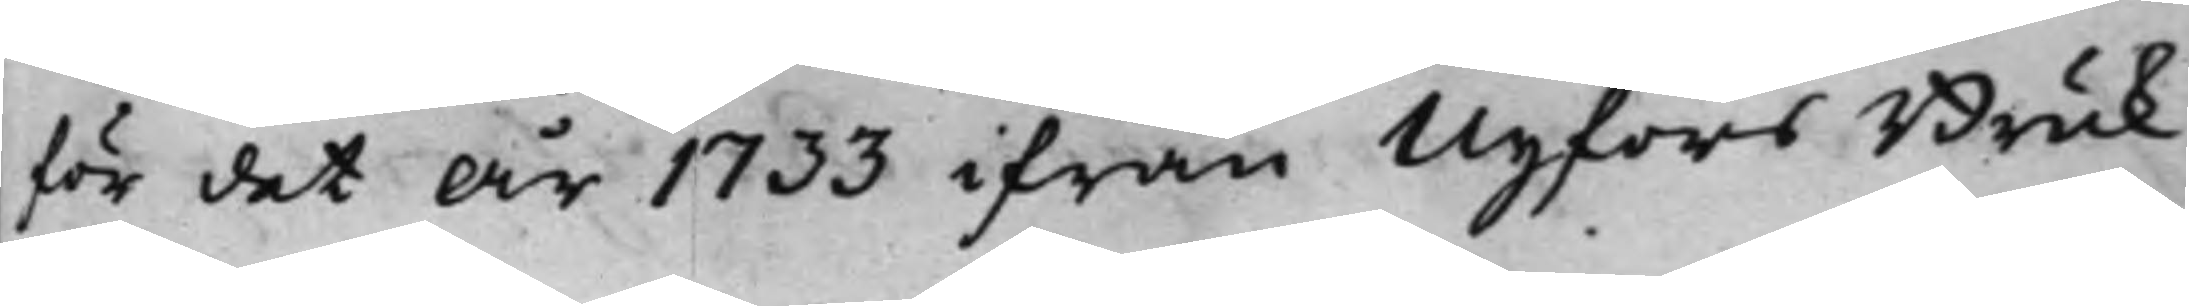för det år 1733 ifrån Nyfors Bruk
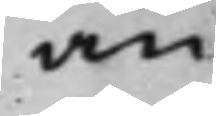an¬
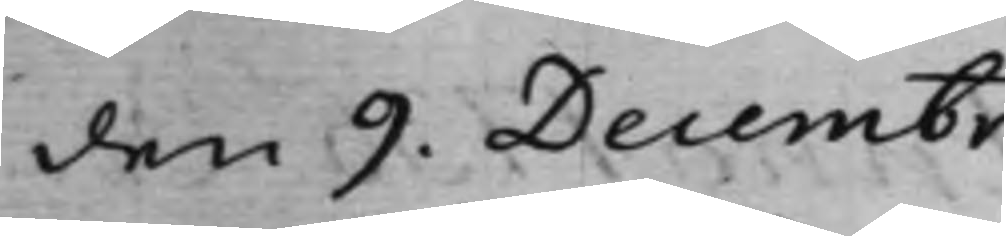den 9. Decembr.
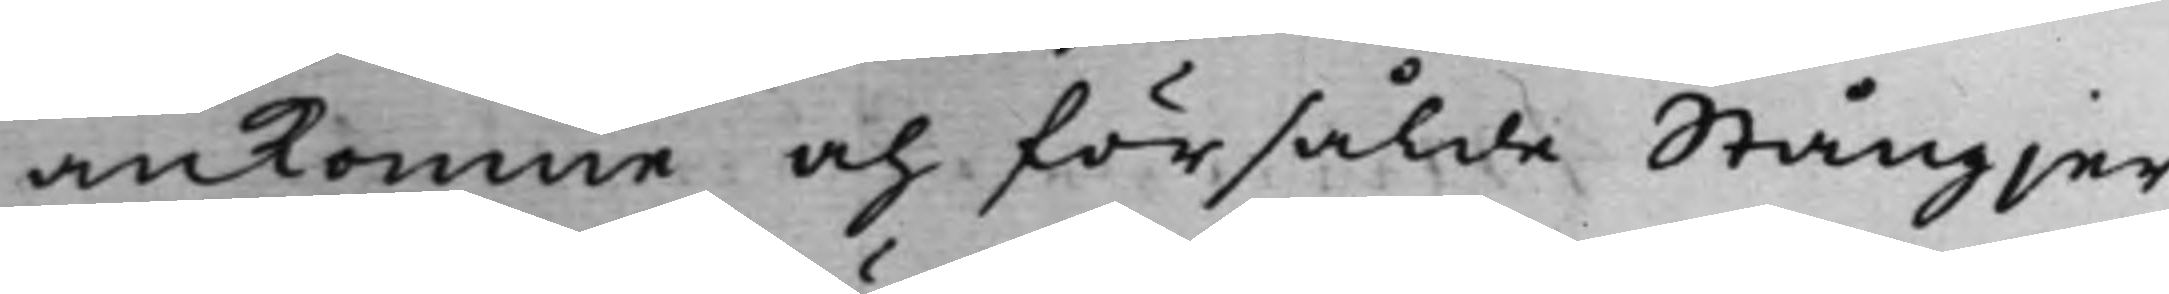ankomne och försålde Stångjer¬
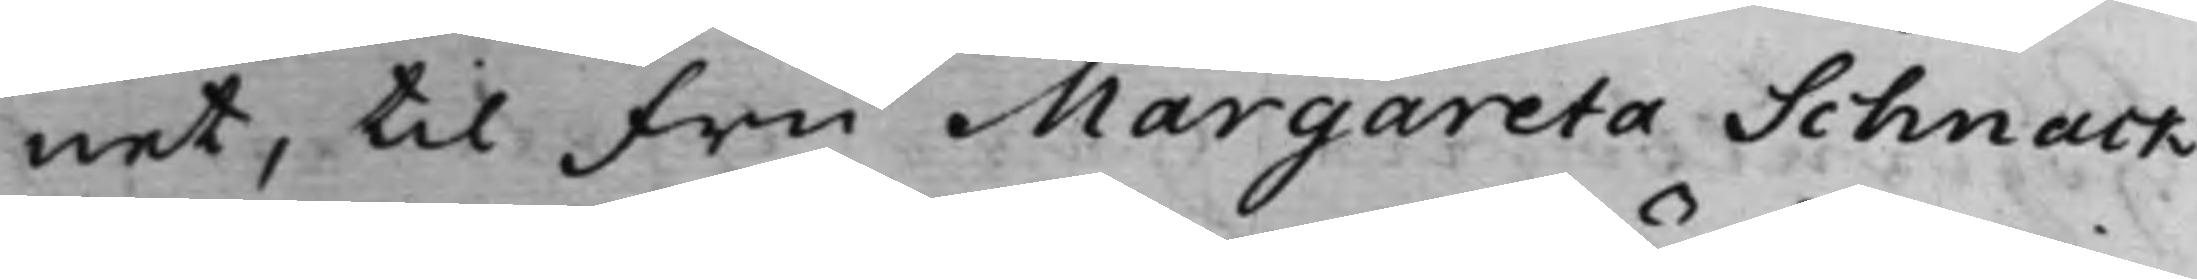net, til Fru Margareta Schnack,
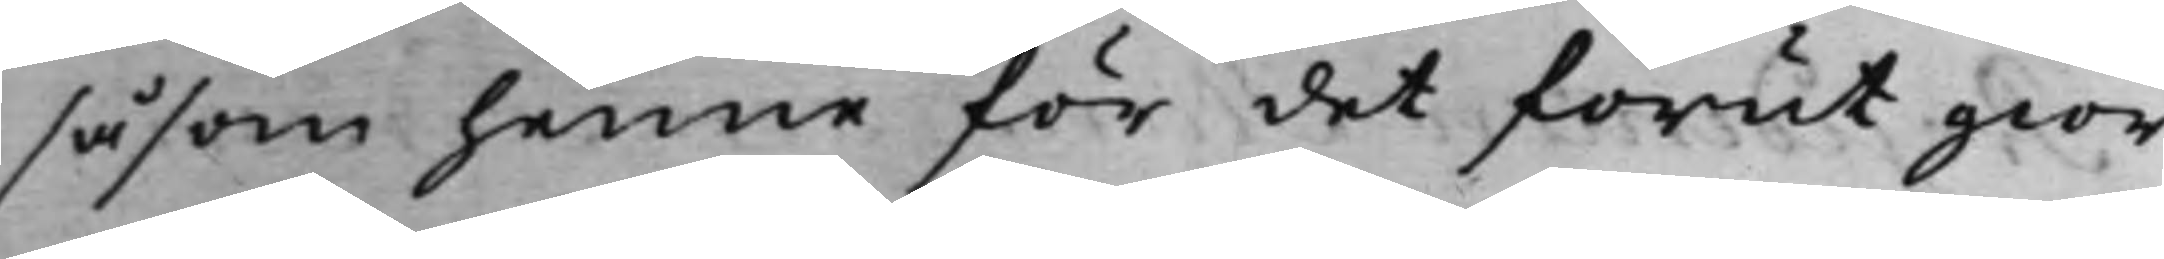såsom henne för det förut gior¬
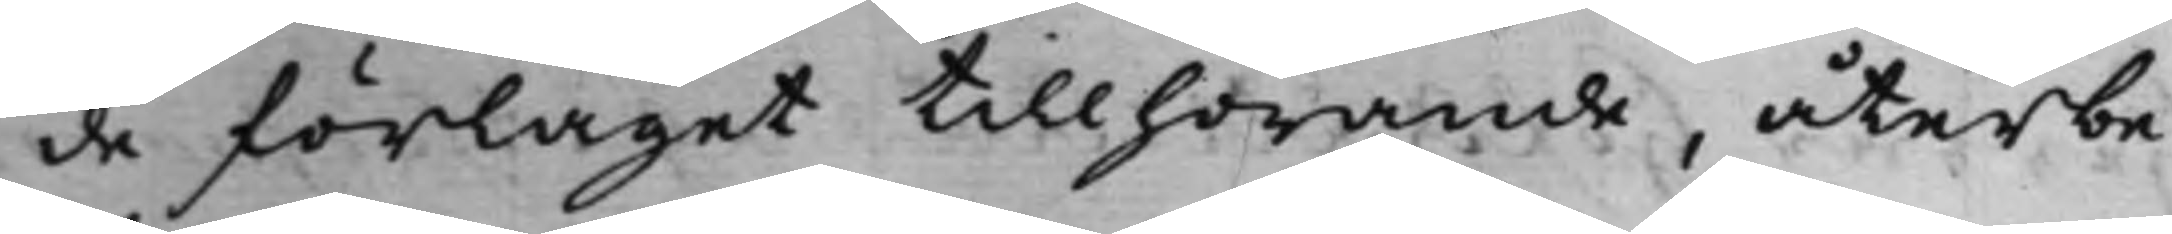de förlaget tillhörande, återbe¬
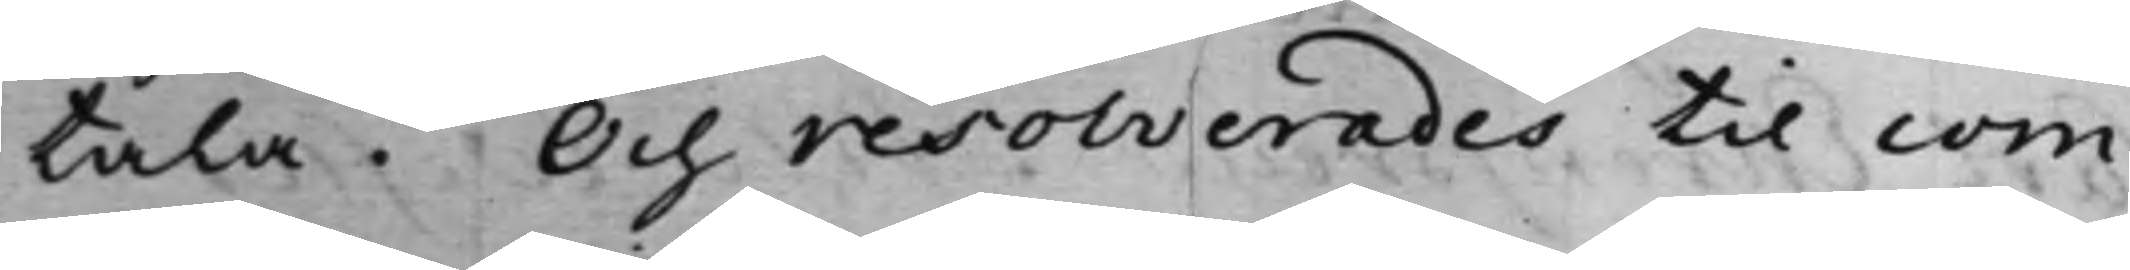tala. Och resolverades till com¬
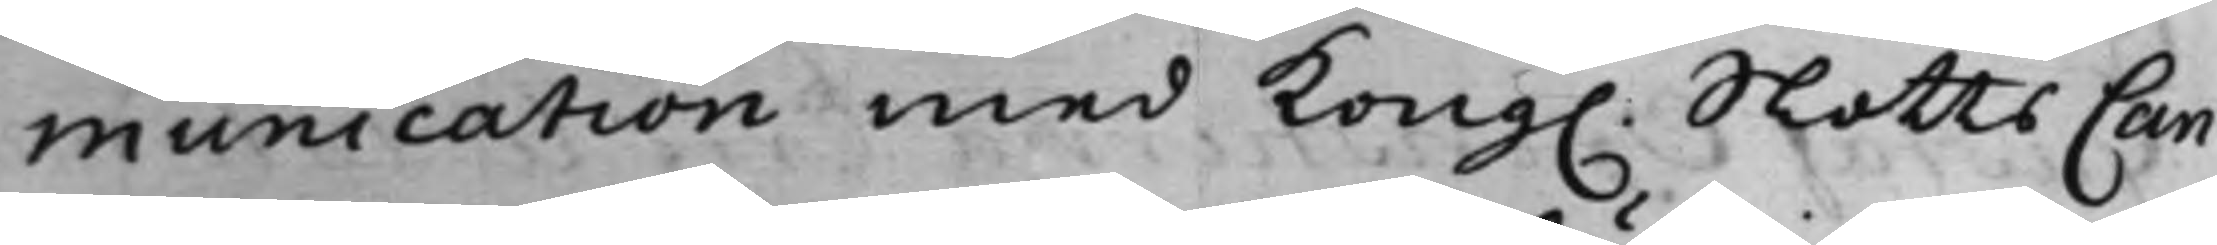munication med Kong. SlottsCan¬
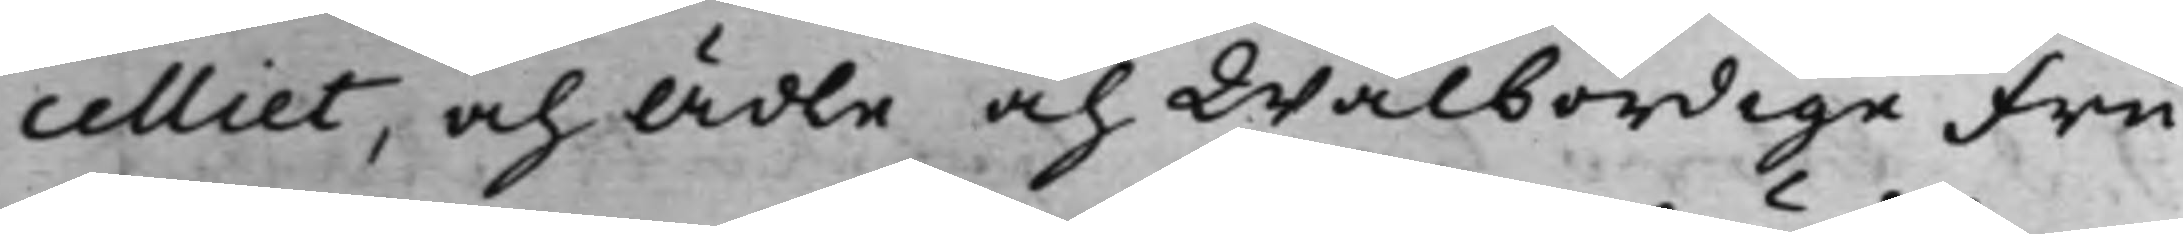celliet, och Ädle och Wälbördige Fru
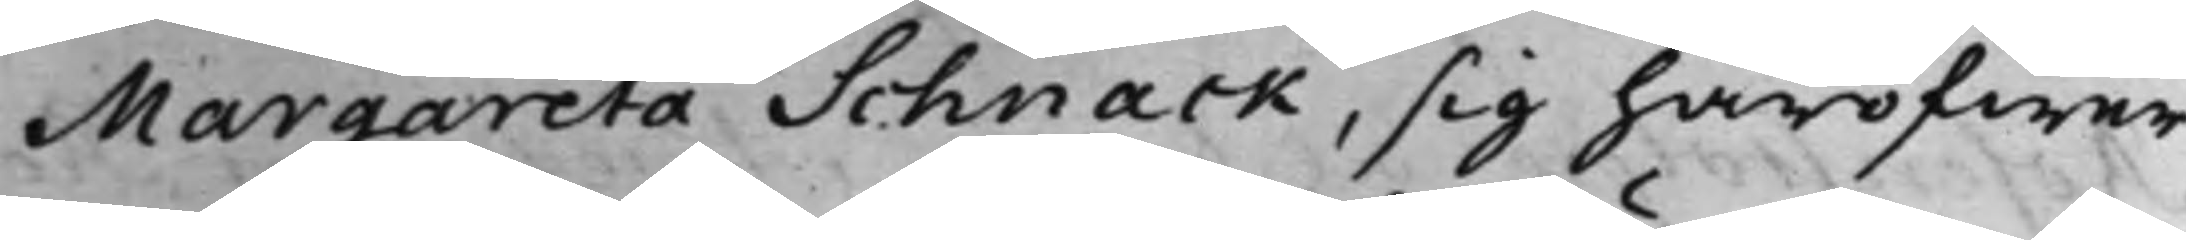Margareta Schnack, sig häröfwer
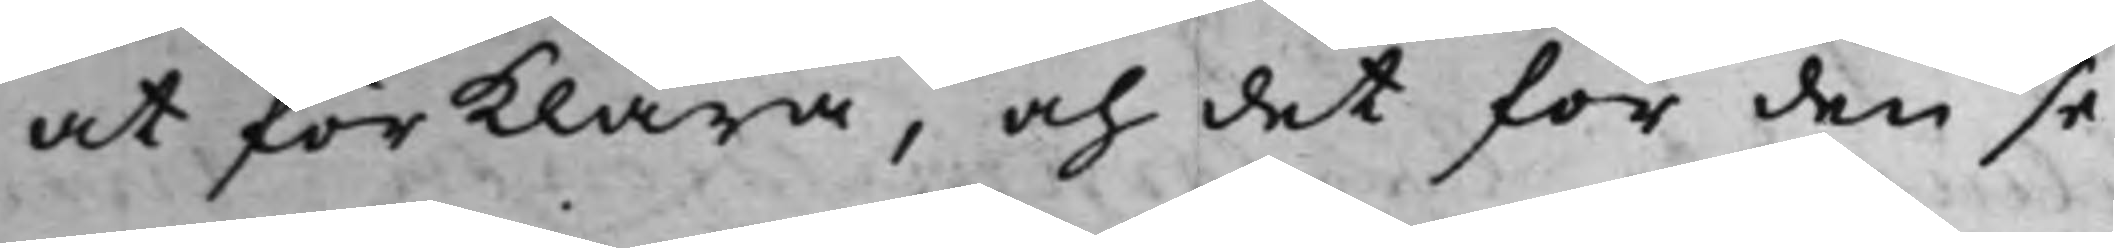at förklara, och det för den se¬
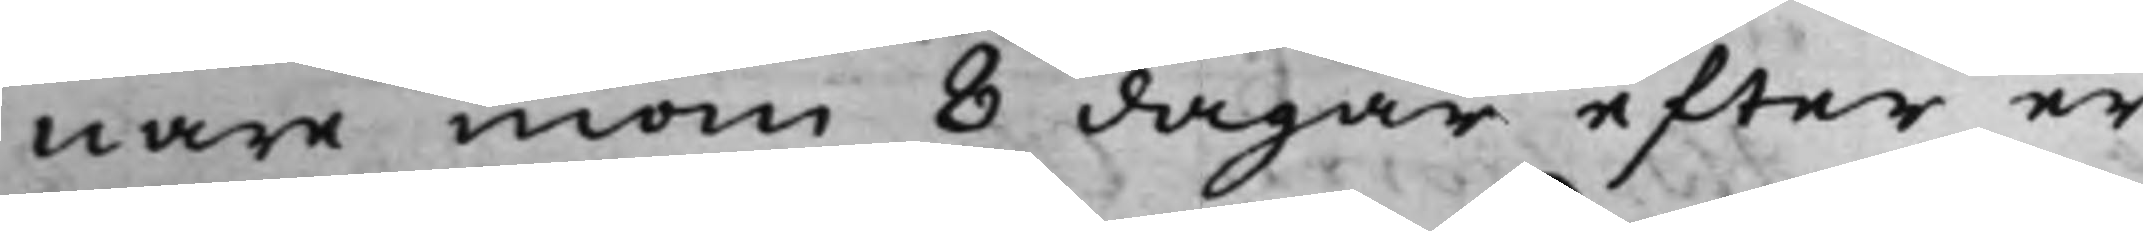nare innom 8 dagar efter er¬
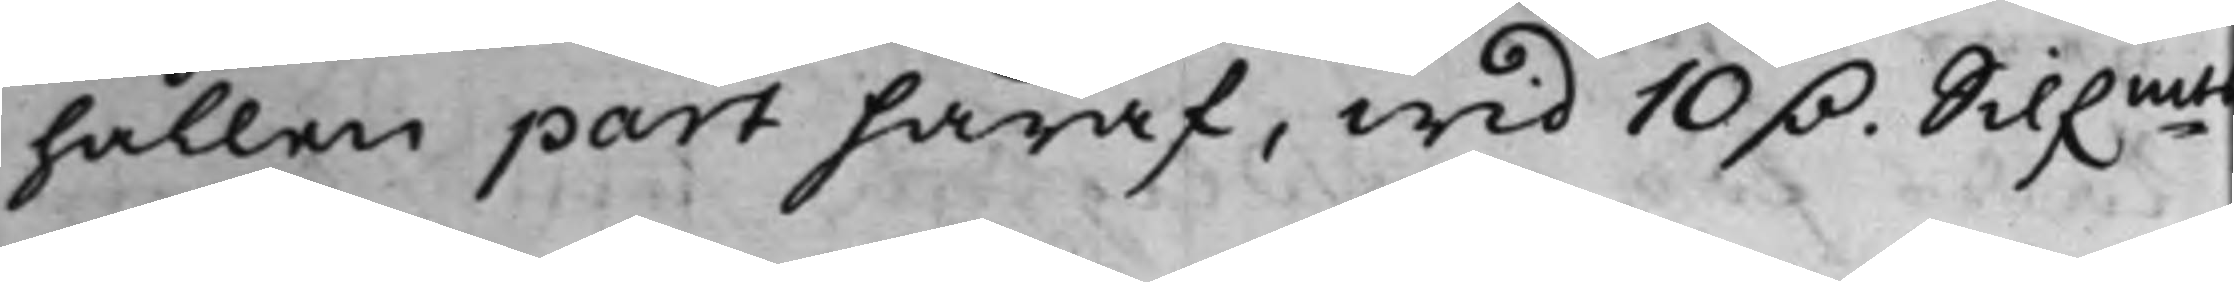hållen part häraf, wid 10 D. Silf.mts
